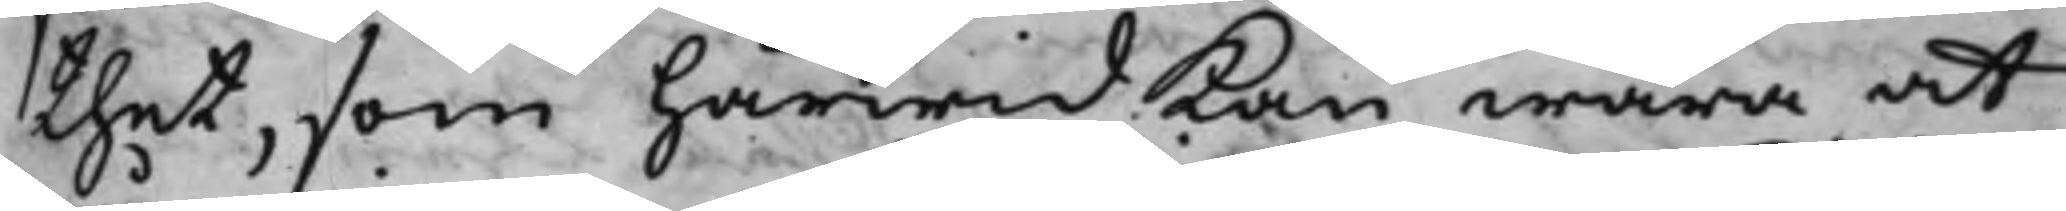thet, som härwid kan wara at
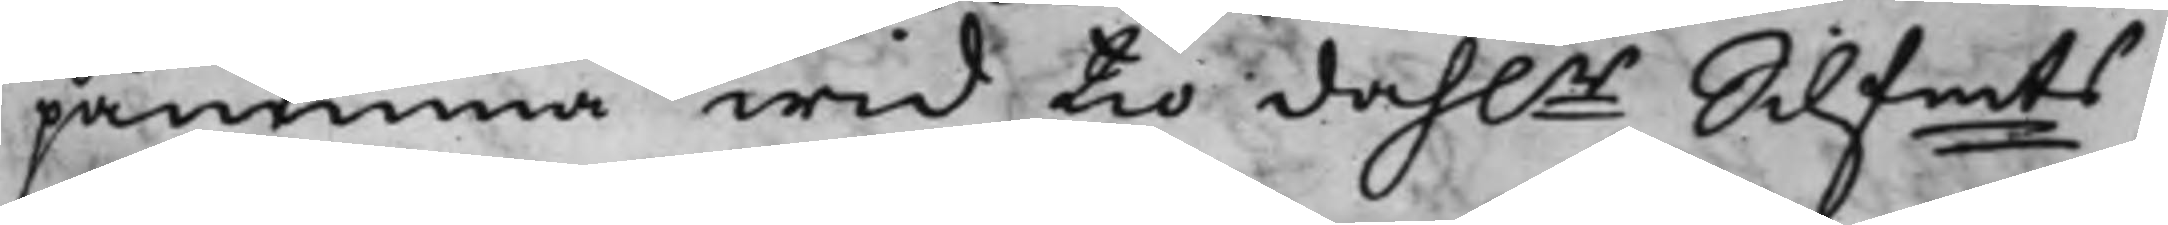påminna wid tio dah.r Silfmts
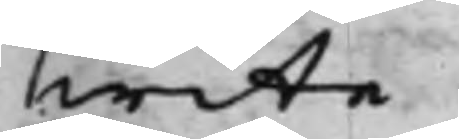wite.
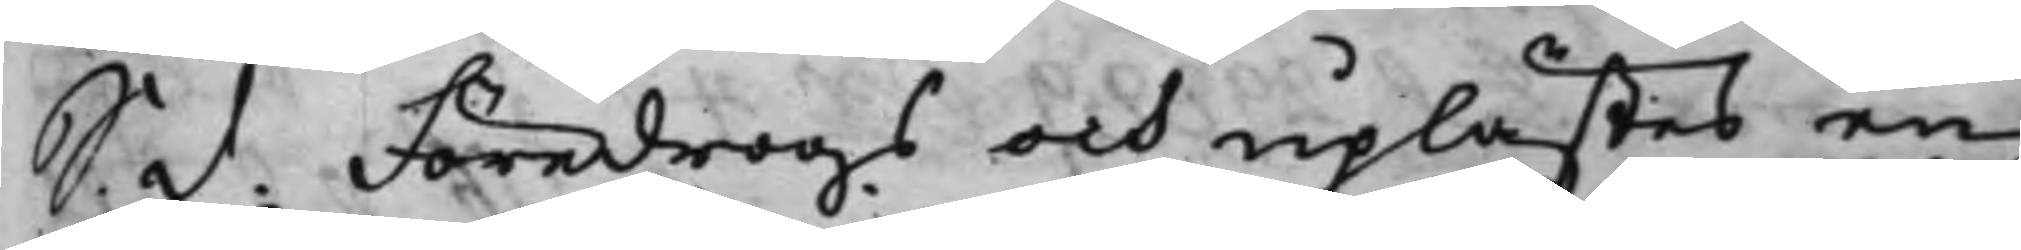S. d. Föredrogs och uplästes en
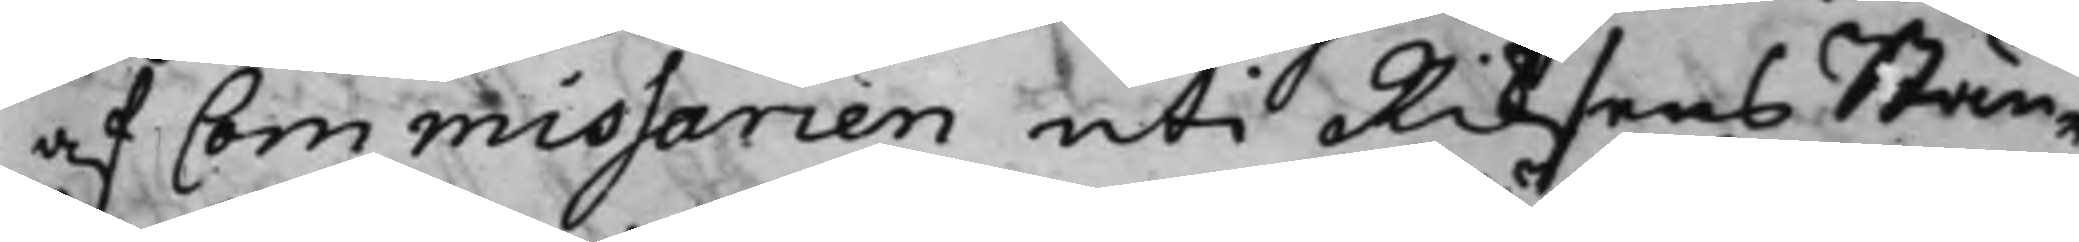af Commissarien uti Riksens Stän¬
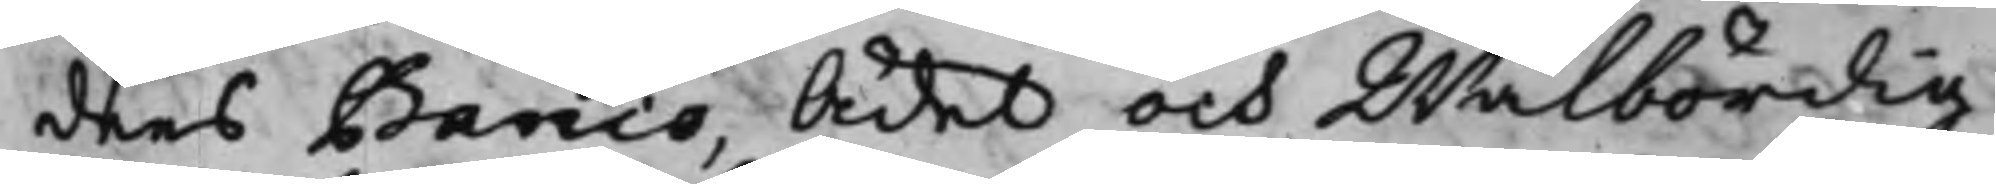ders Banco, Ådet och Wälbördig
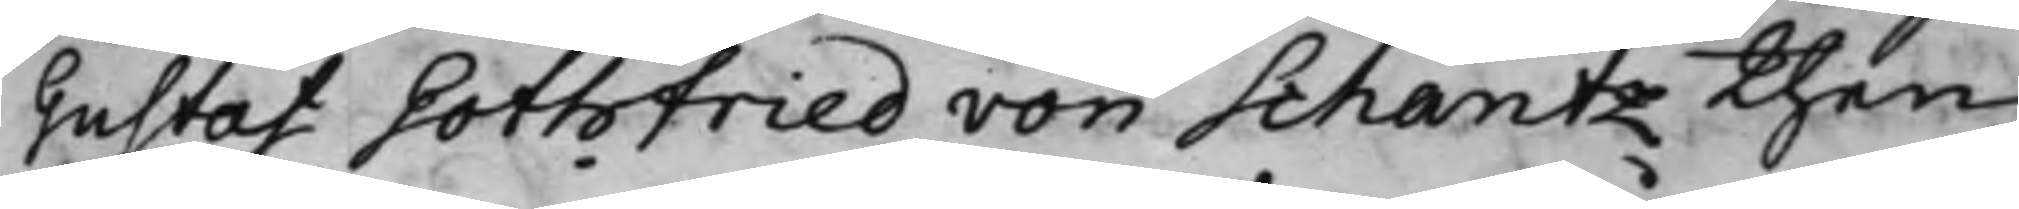Gustaf Gothfried von Schantz then
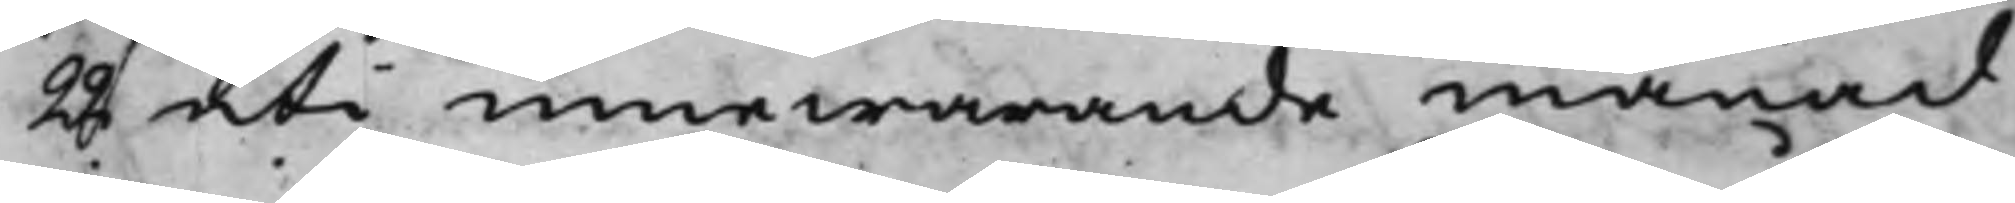22 uti innewarande månad
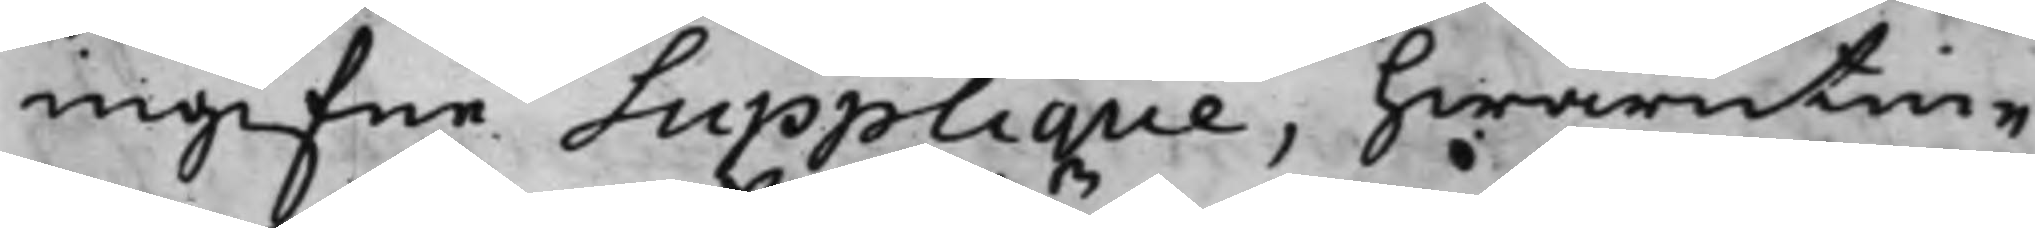ingifne Supplique, hwarutin¬
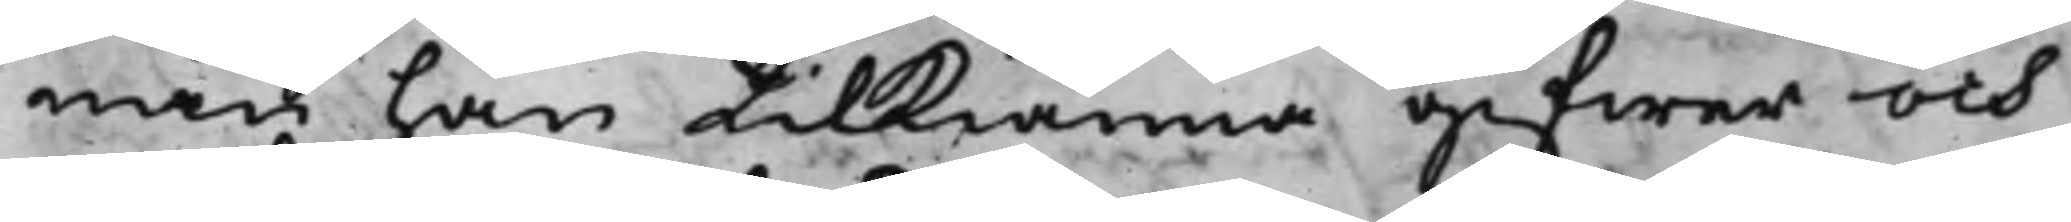nan han tilkiänna gifwer och
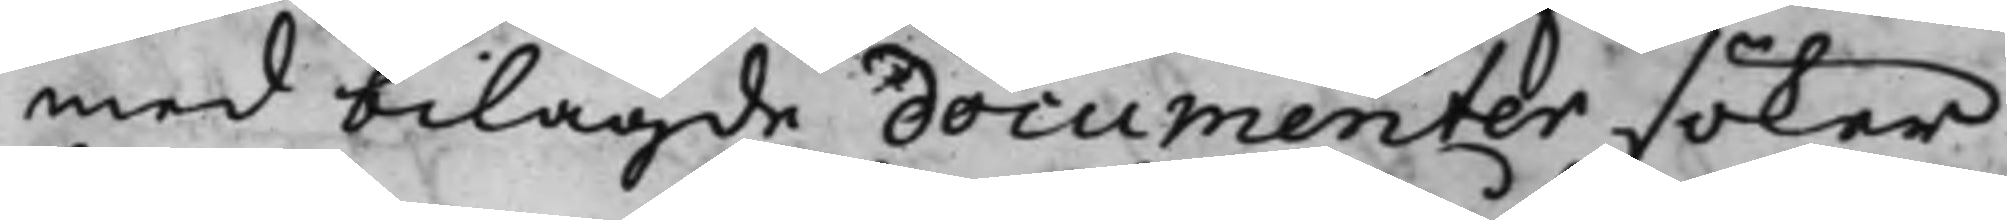med bilagde documenter söker
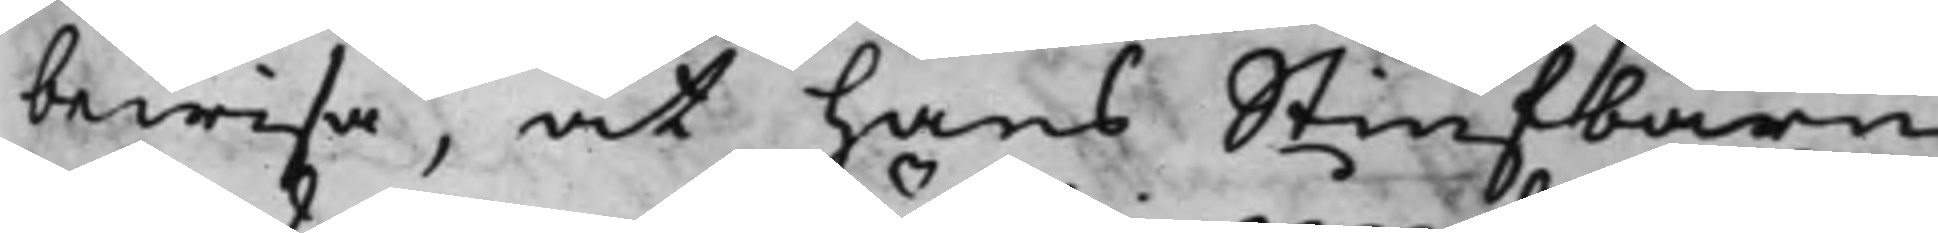bewisa, at hans Stiufbarn
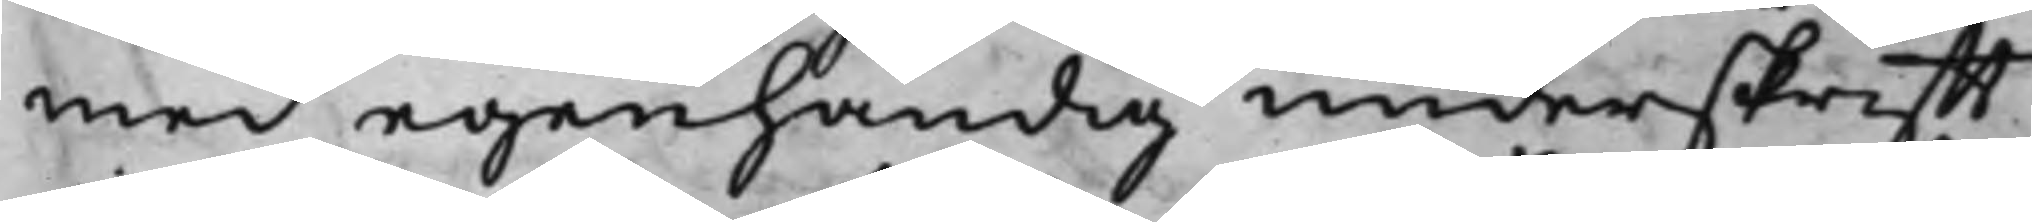med egenhändig underskrifft
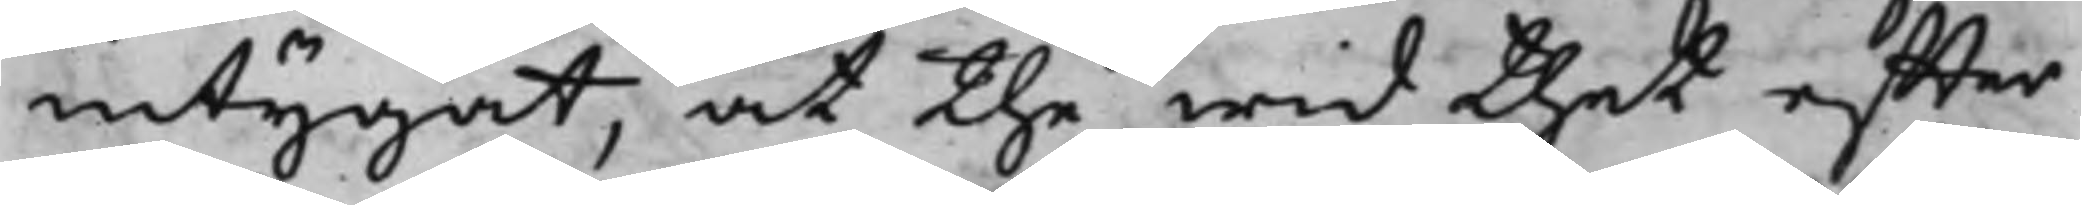intygat, at the wid thet effter
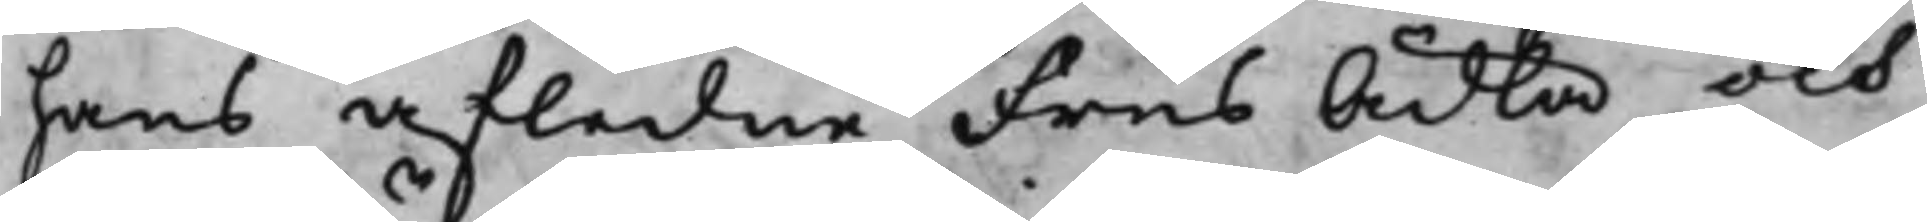hans afledne Frus Ädla och
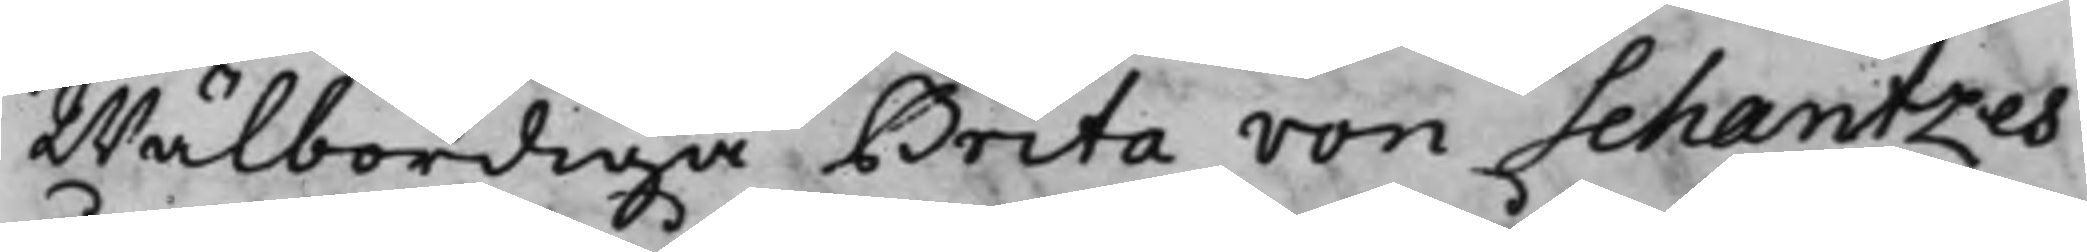Wälbördiga Brita von Schantzes
